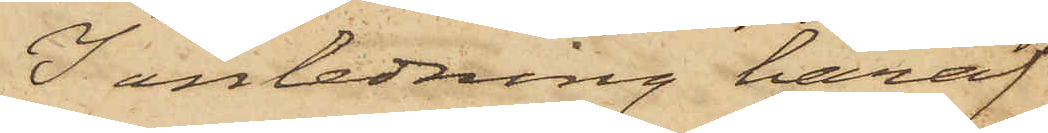I anledning häraf
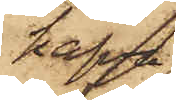hafva
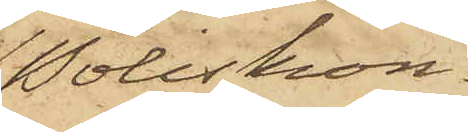Poliskon¬
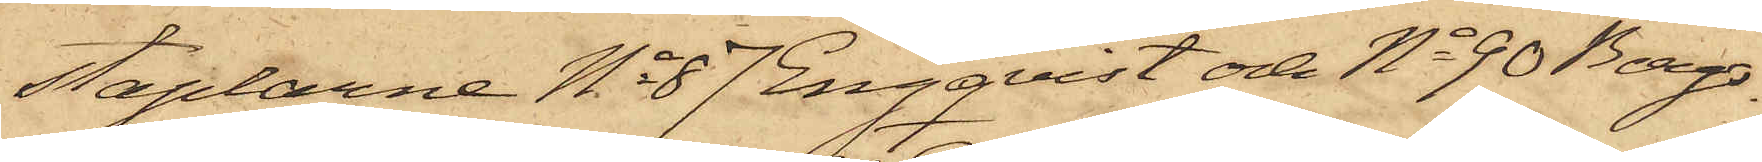staplarne No 87 Engqvist och No 90 Berg¬
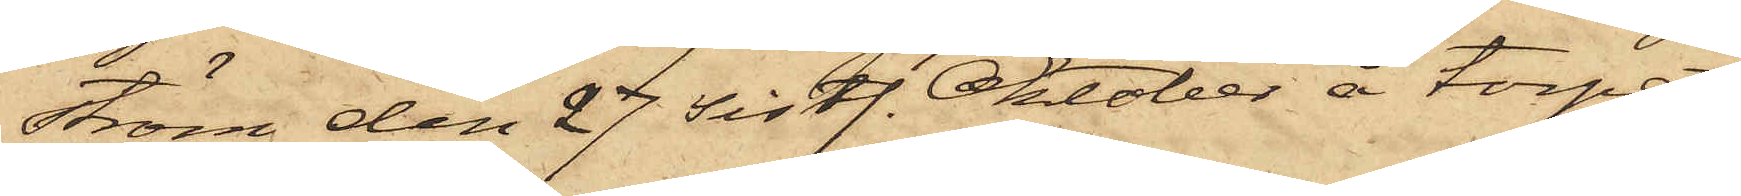ström den 27 sistl. Oktober å torpet
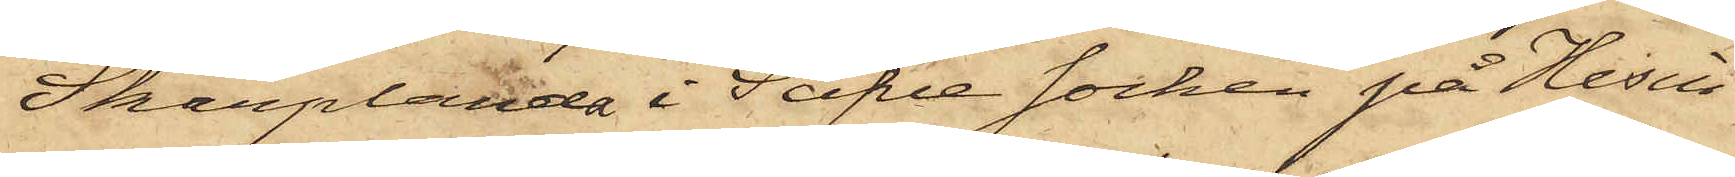Skarplanda i Säfve socken på Hisin¬
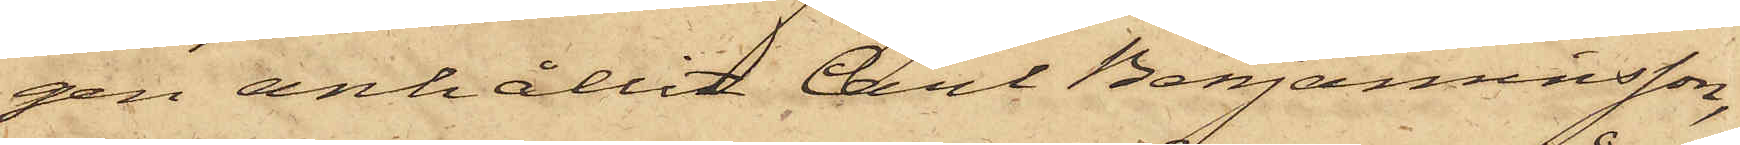gen anhållit Carl Benjaminsson,
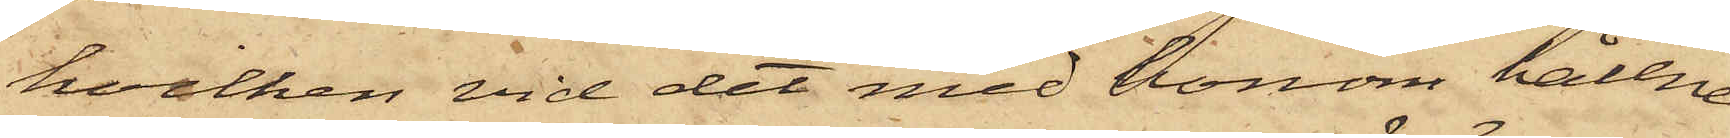hvilken vid det med honom hållne
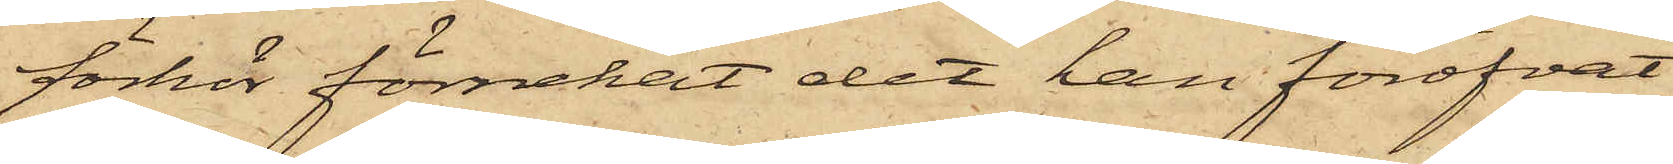förhör förnekat det han föröfvat
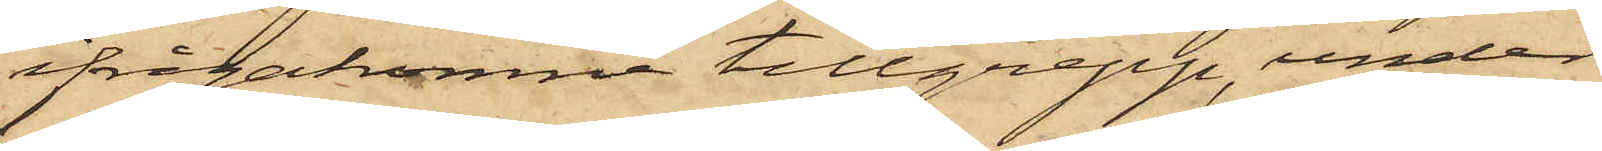ifrågakomne tillgrepp, under
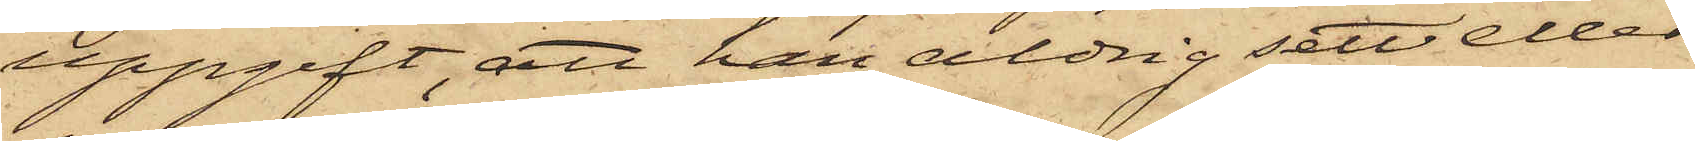uppgift, att han aldrig sett eller
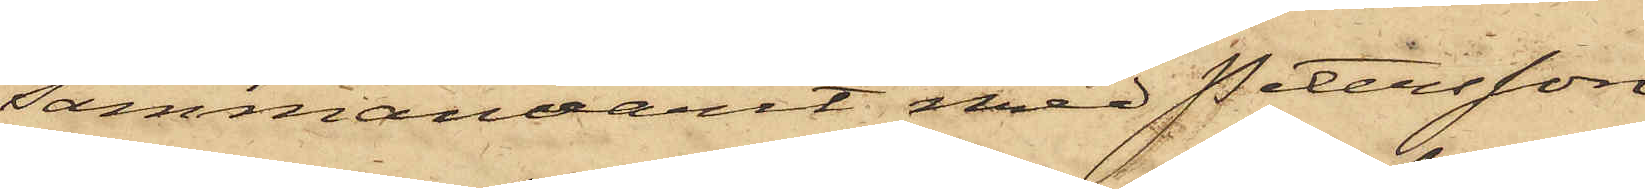sammanvarit med Petersson
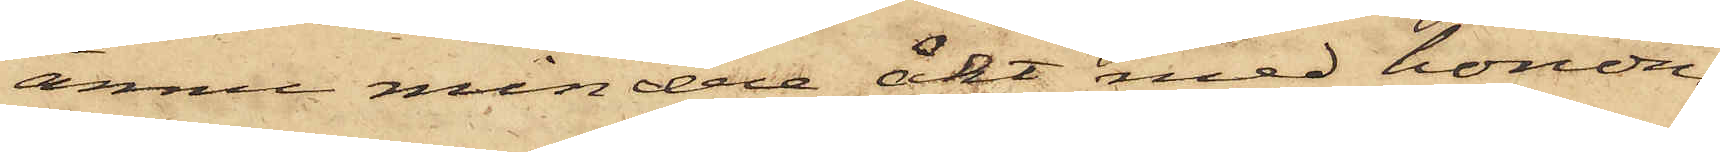ännu mindre åkt med honom.
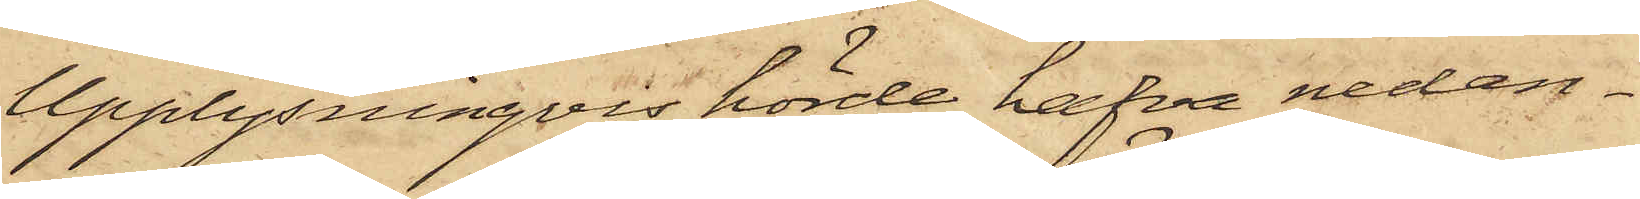Upplysningvis hörde hafva nedan
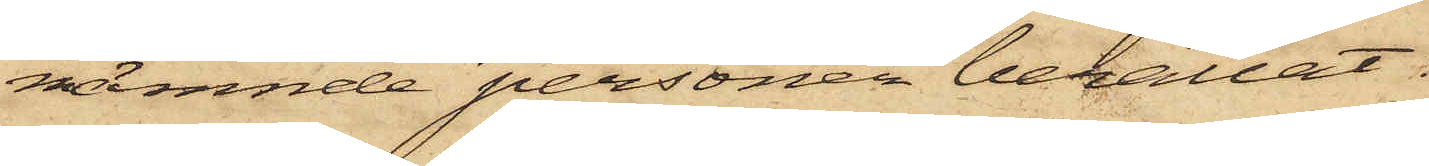nämnde personer berättat:
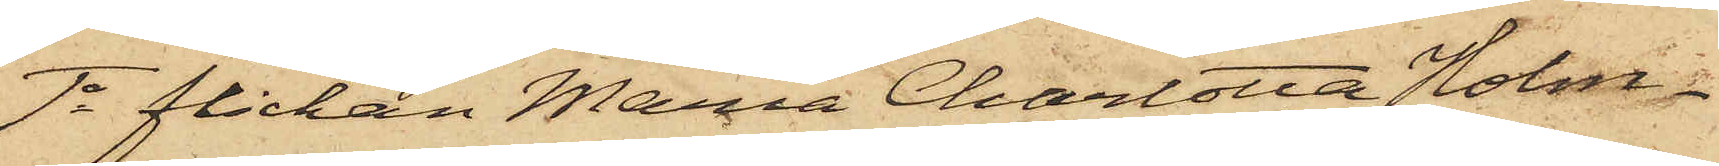1o flickan Maria Charlotta Holm¬
